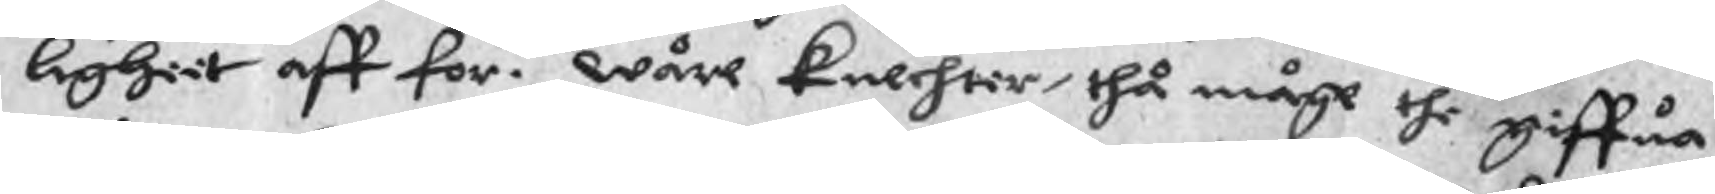lighiit aff for.ni Wåre knechter, thå måge the giffua
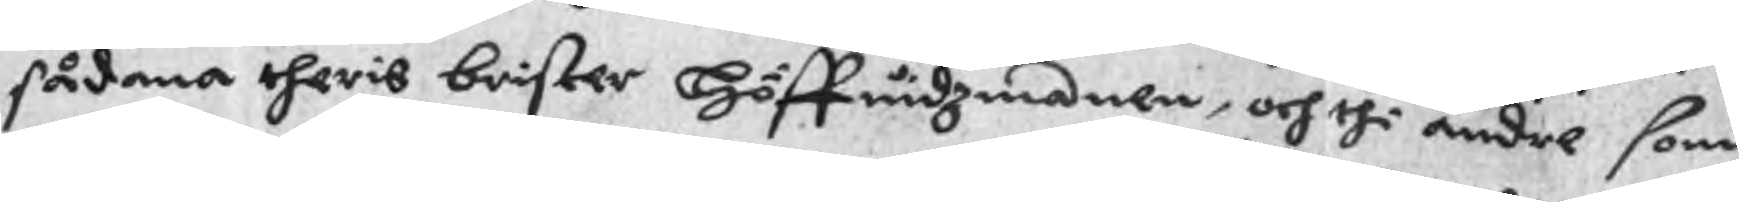sådana theris brister Höffindzmanen, och thi andre som
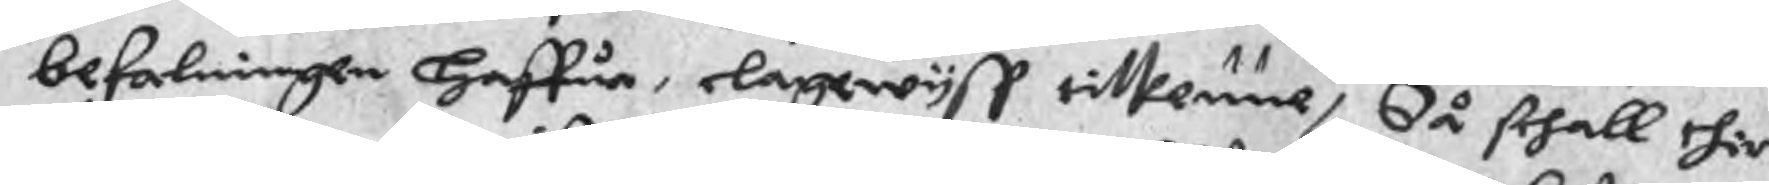befalningen Haffue, elagewyst tilkenne, då skhall thir
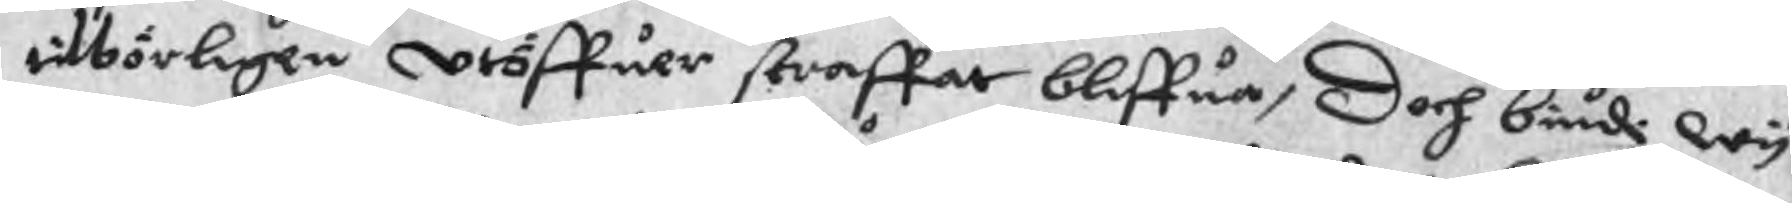tilbörligen utöffuer straffar bliffua, Doch biudi wy
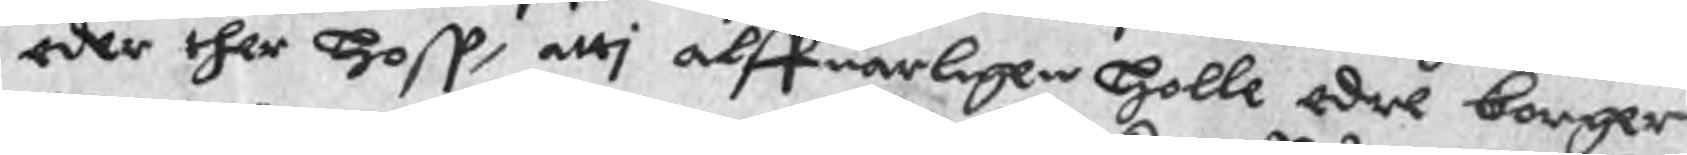eder ther hoss, atti alffuarligen Holle edre borger
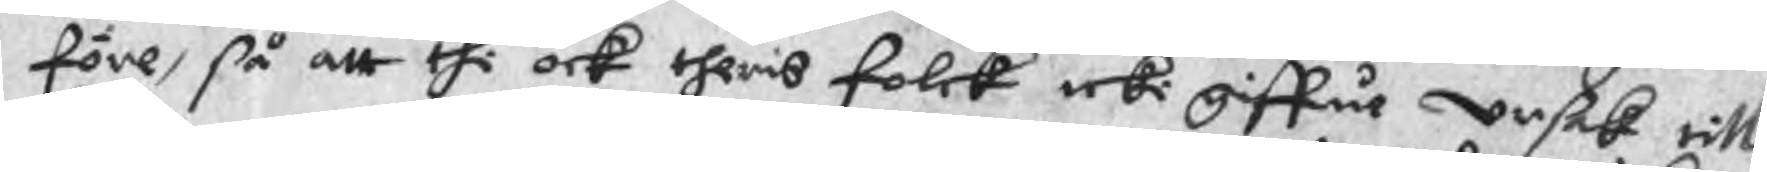före, så att thi ock theris folck icki giffue ursak till
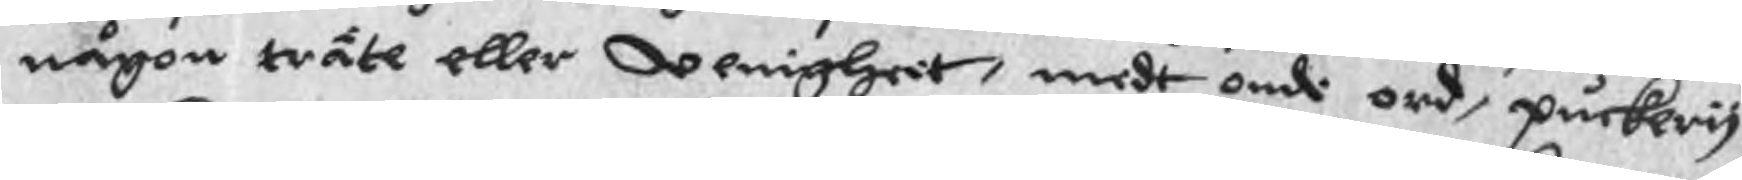någon träte eller uenighet, medt ondi ord, puckevis
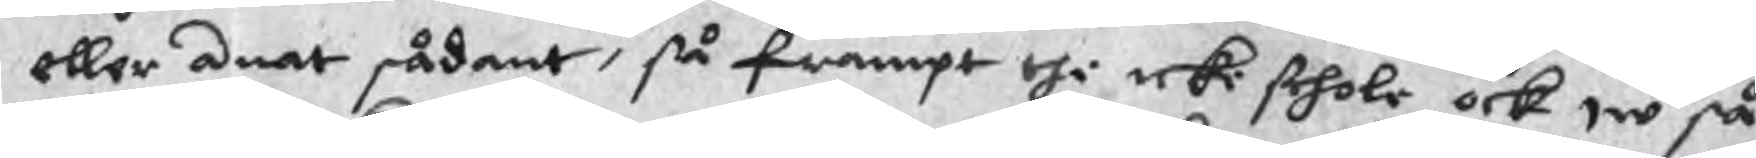eller anat sådant, så frampt thi icke skhole ock w så
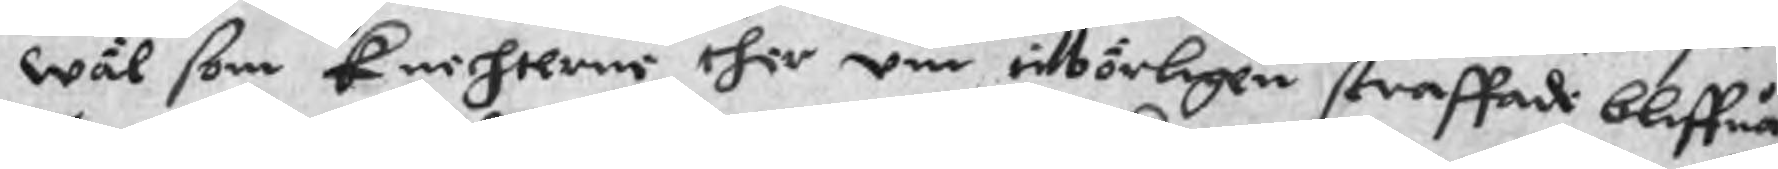wäl som knechterne thir om tilbörligen straffade bliffua,
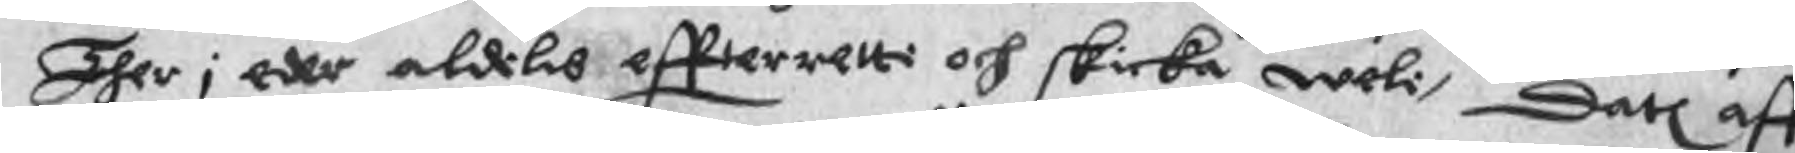Ther i eder aldilis effterretti och skicka weli, Datl aff
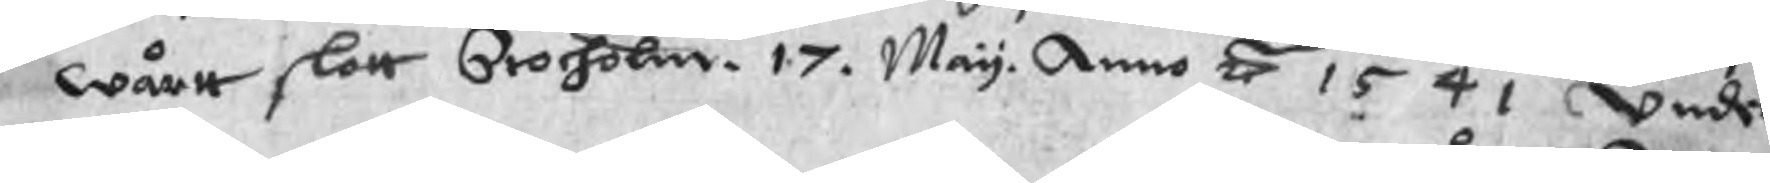wårtt slott Stocholm. 17. May. Anno Å 1541 under
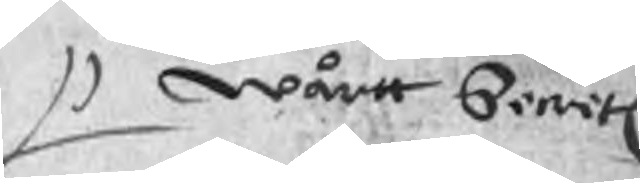wårtt Secrete
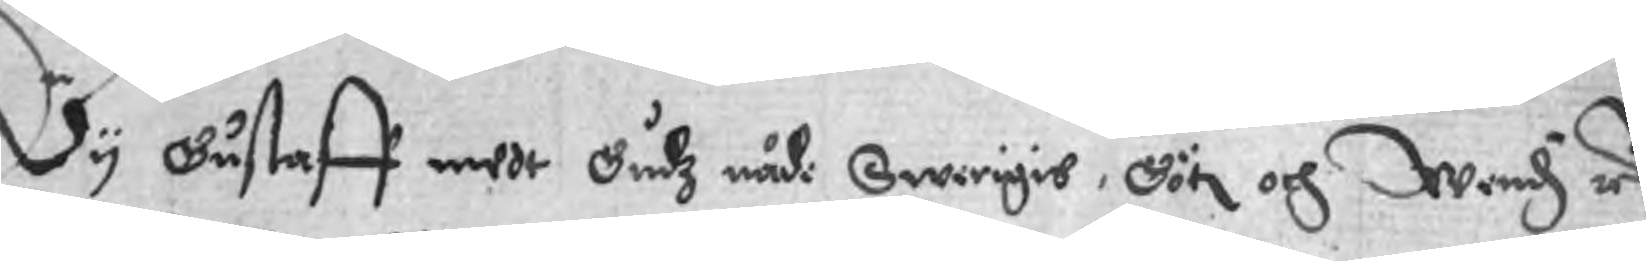Wy Gustaff medt Gudz nådi Swerigis, Göti och Wend zr
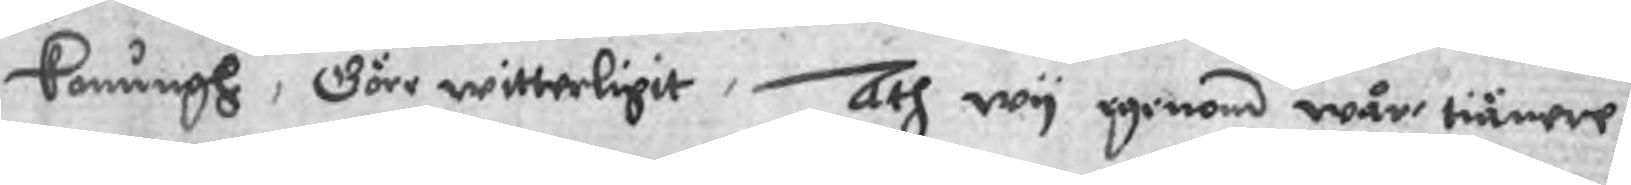Konungh, Göre witterligit, Ath wy iginom wår tiänere
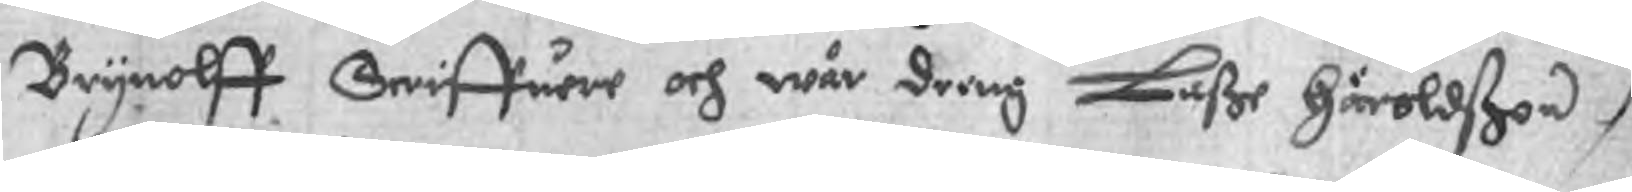Brynolff Scriffuere och wår dreng Laße Häroldßon
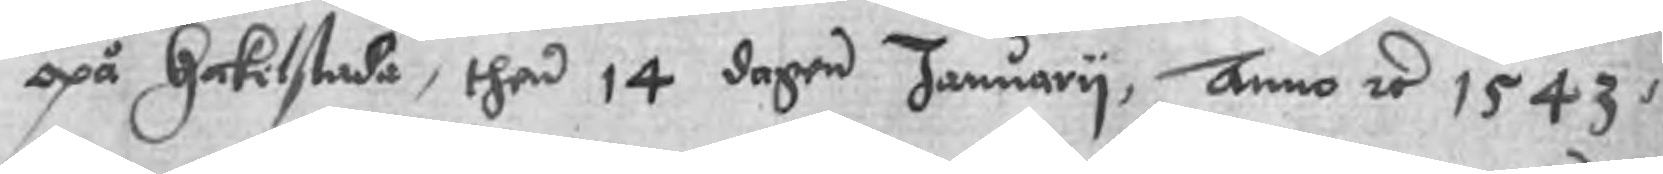opå Hackilstada, then 14 dagen January, Anno zr 1543,
